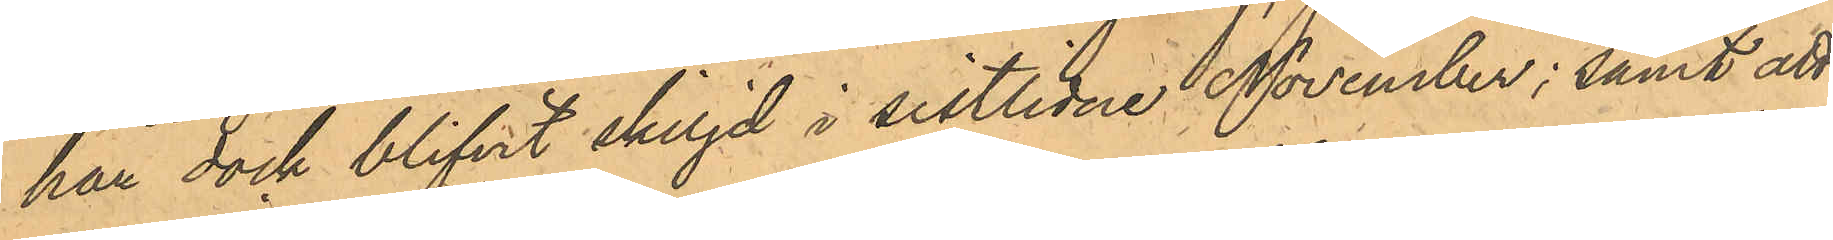han dock blifvit skiljd i sistlidne November; samt att
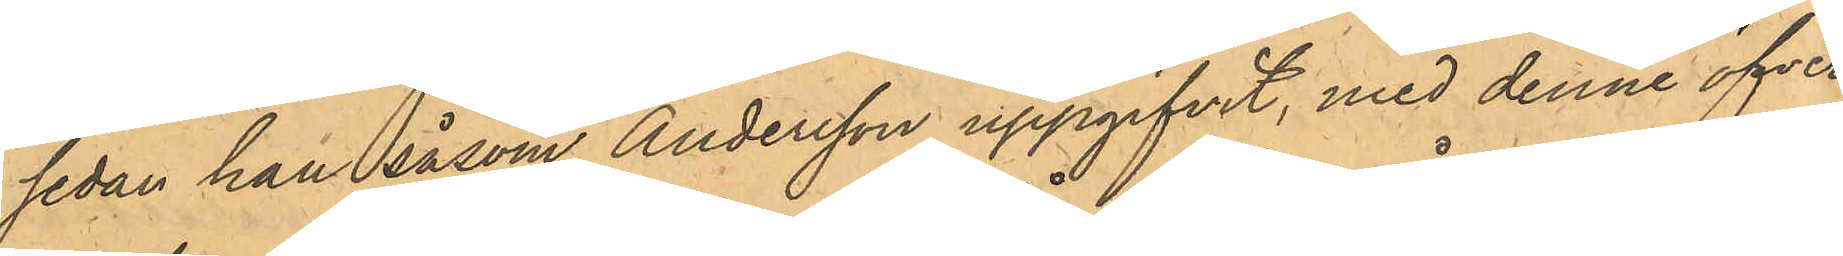sedan han som Andersson uppgifvit, med denne öfver¬
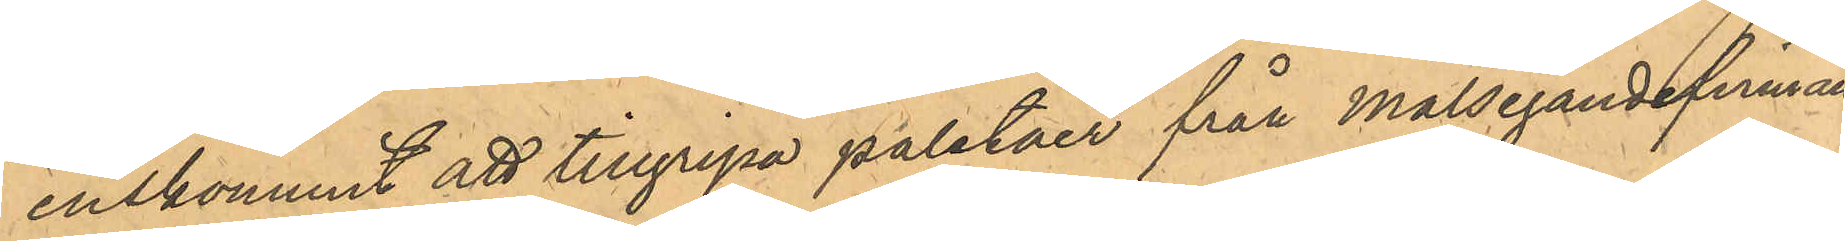enskommit att tillgripa paletåer från Målsegandefirman,
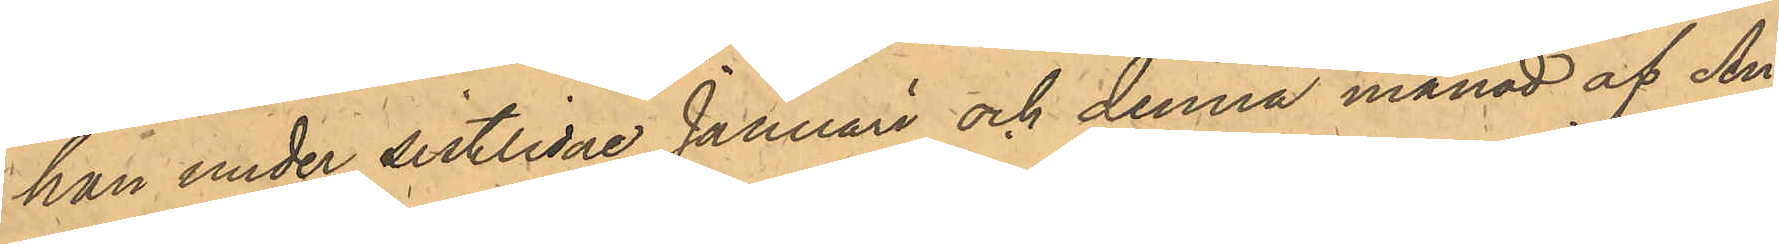han under sistlidne Januari och denna månad af An¬
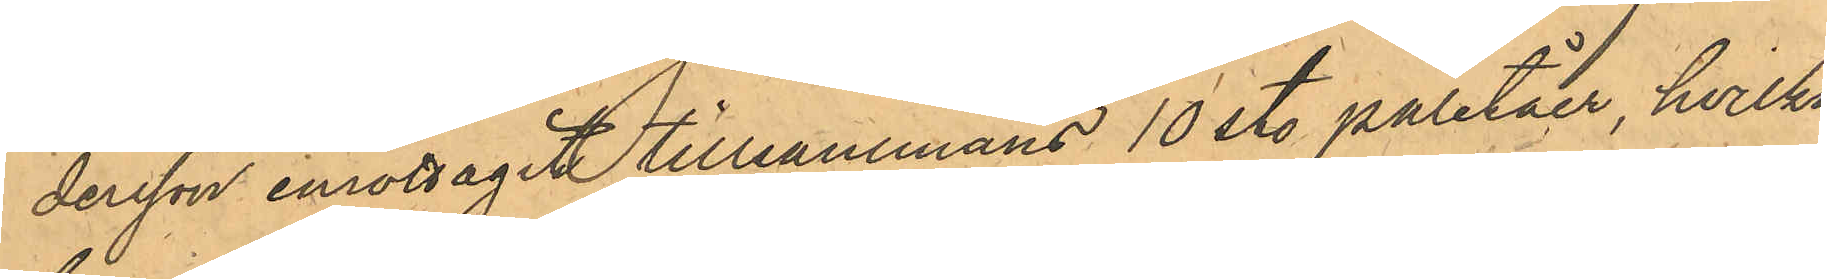dersson emottagit tillsammans 10 st. paletåer, hvilka
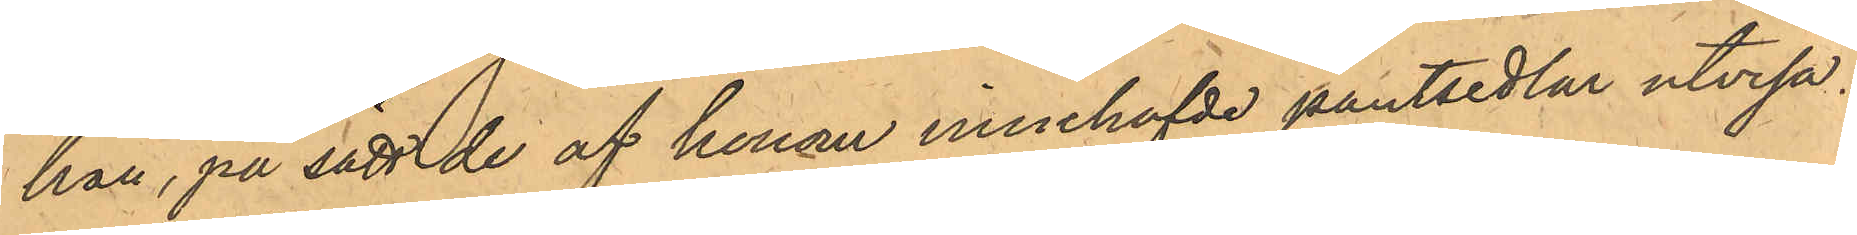han, på sätt de af honom innehafde pantsedlar utvisa.
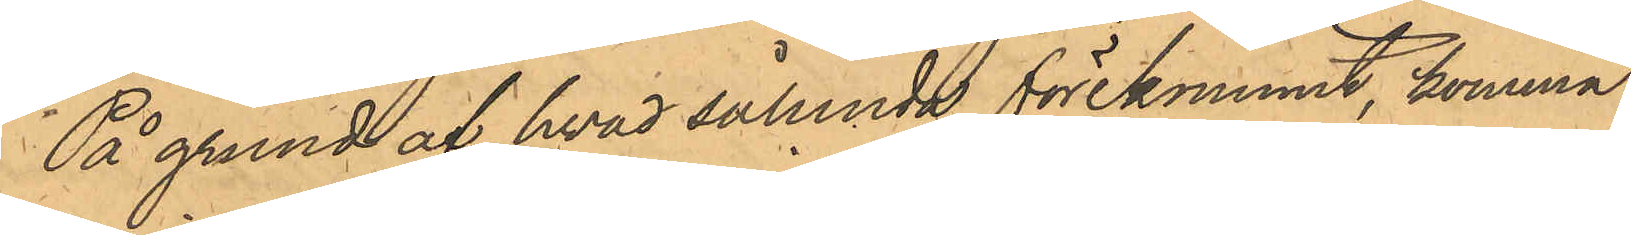På grund af hvad sålunda förekommit, komma
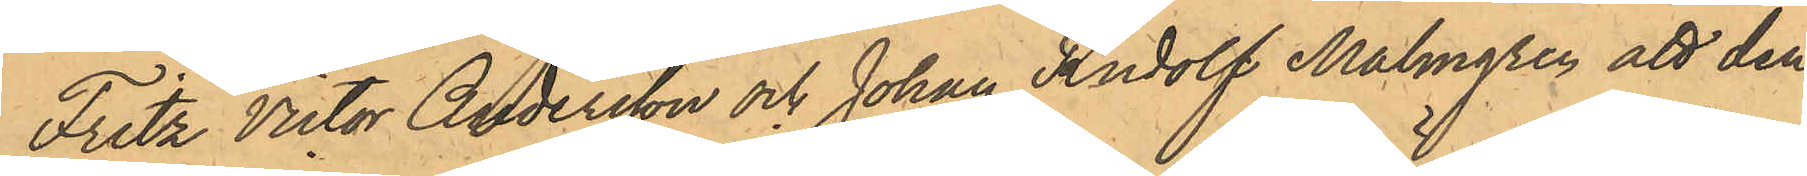Fritz Victor Andersson och Johan Rudolf Malmgren att den¬
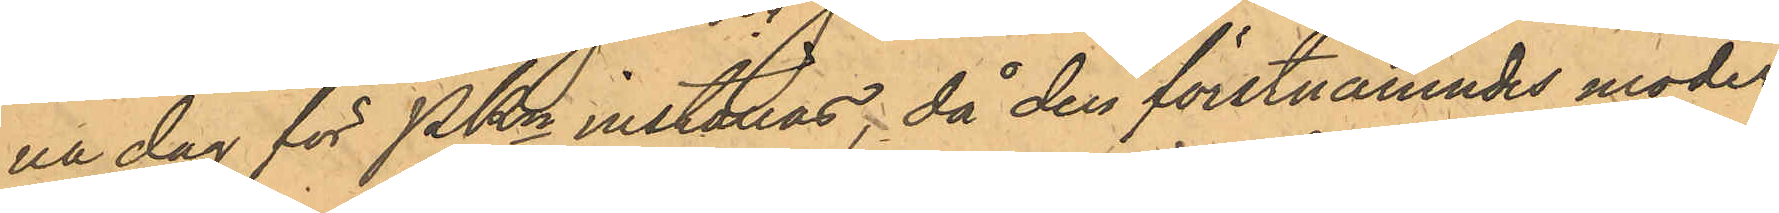na dag för PKn inställas, då den förstnämndes moder
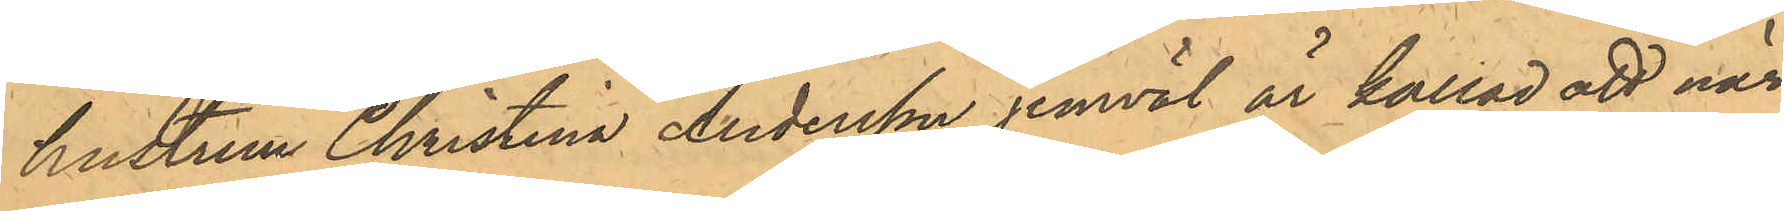hustru Christina Andersson jemväl är kallad att när¬
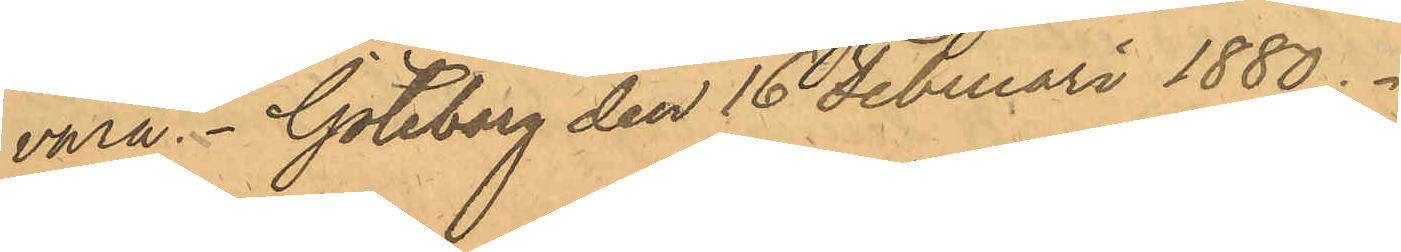vara. Göteborg den 16 Februari 1880.
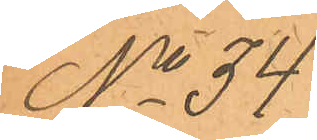No 34.
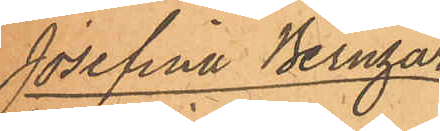Josefina Bernhar¬
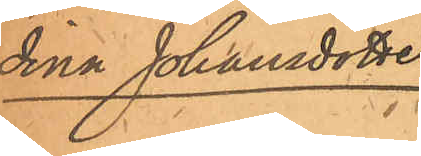dina Johansdotter
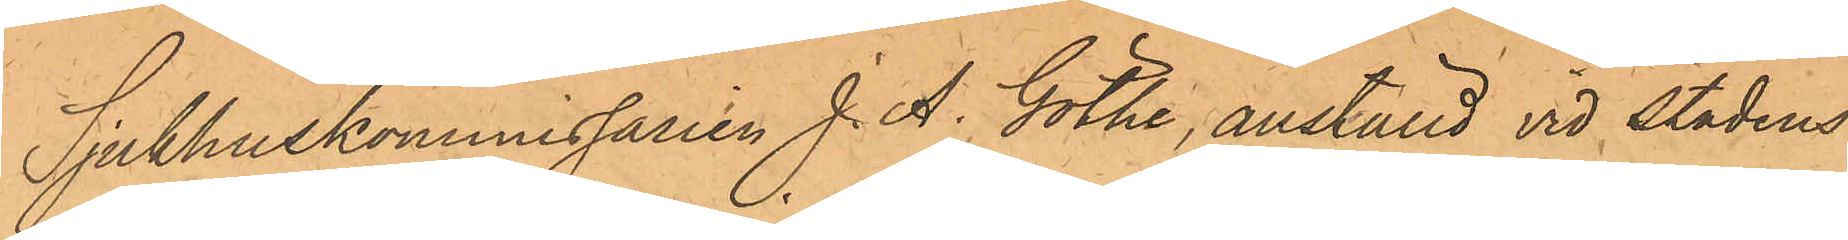Sjukhuskommissarien J. A. Göthe, anställd vid Stadens
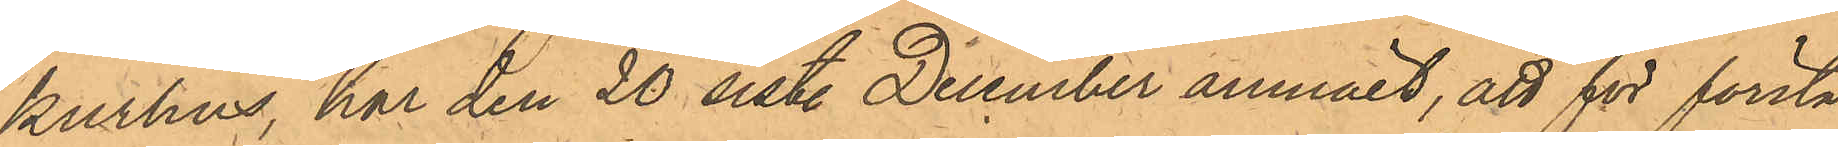Kurhus, har den 20 sist. December anmält, att för första
